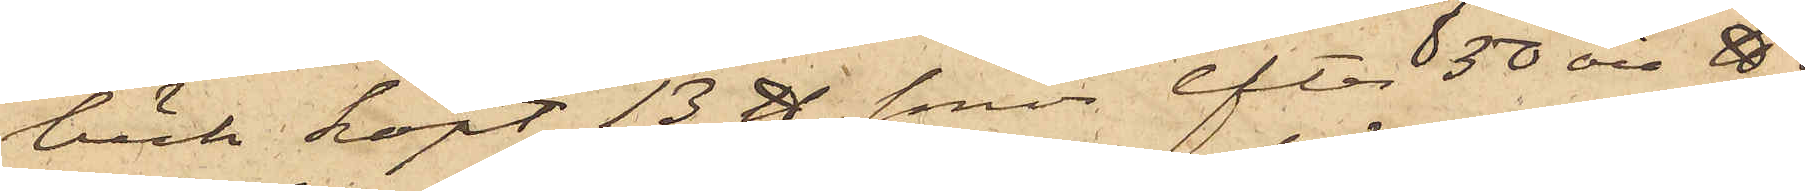bäck köpt 13 ℔ smör, efter 50 öre ℔;
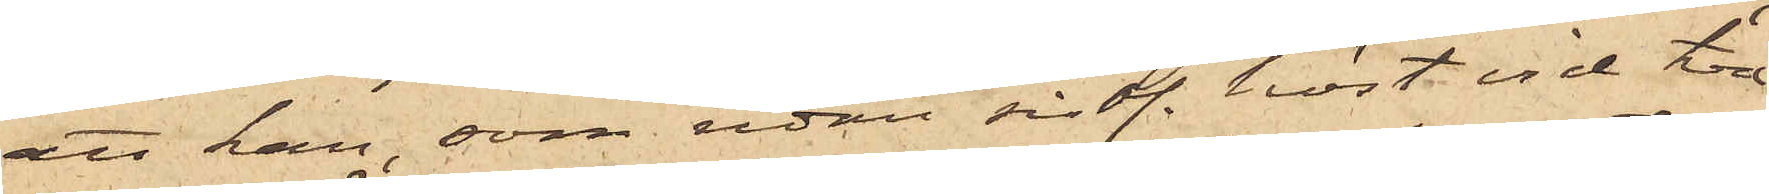att han, som sedan sistl. höst vid två
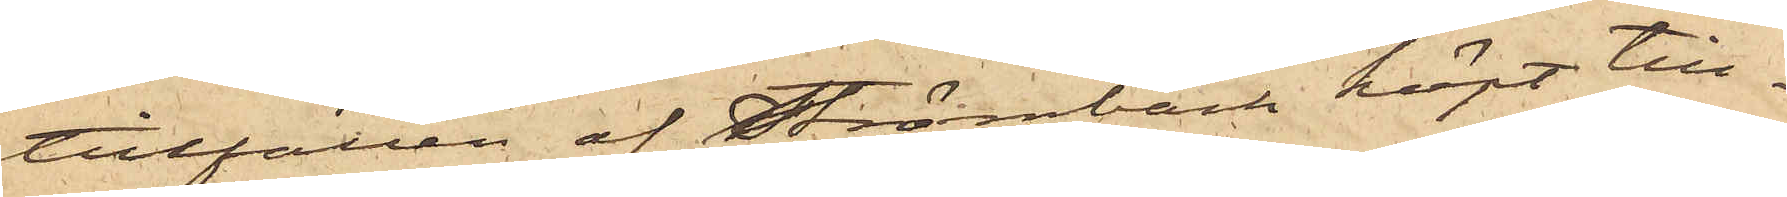tillfällen af Strömbäck köpt till¬
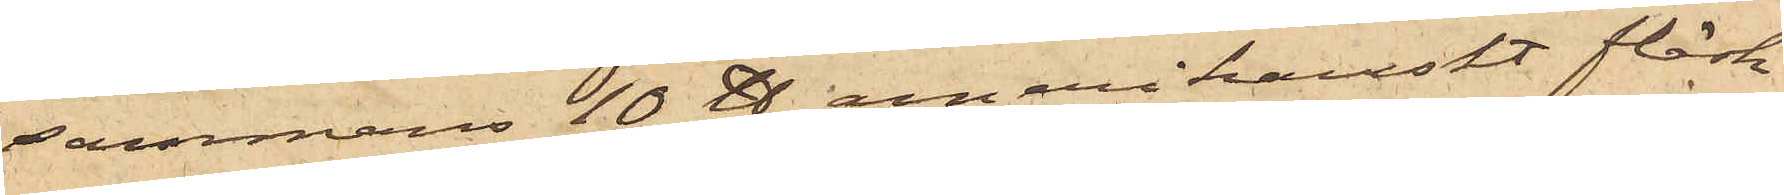sammans 10 ℔ amerikanskt fläsk
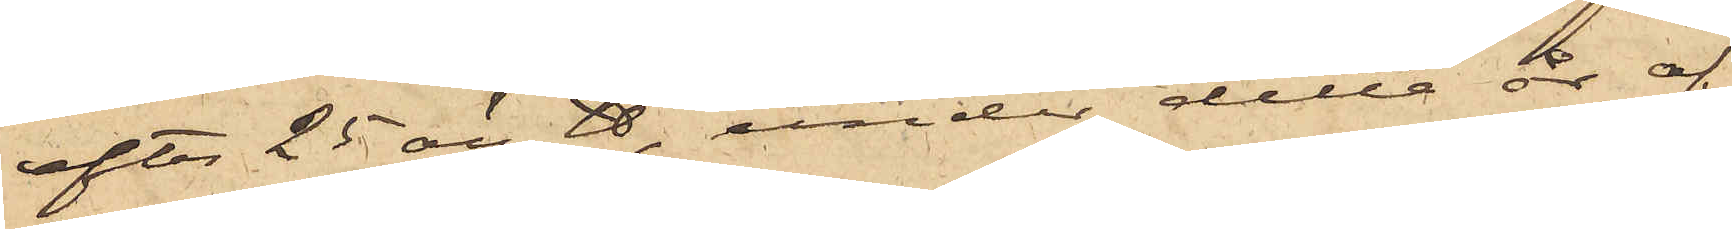efter 25 öre ℔, under detta år af
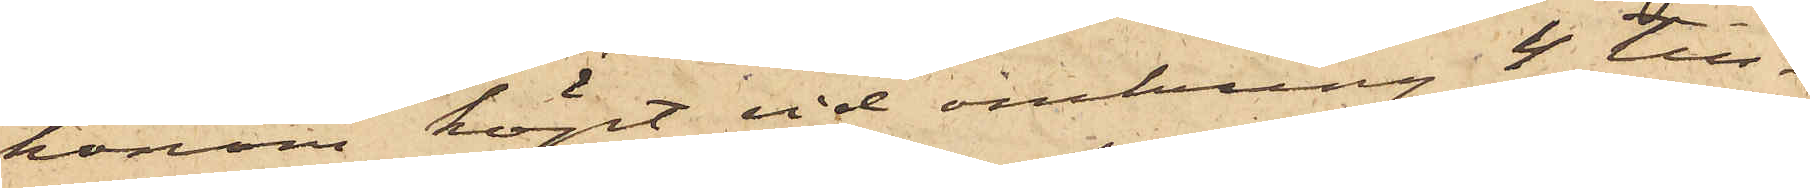honom köpt vid omkring 4 till¬
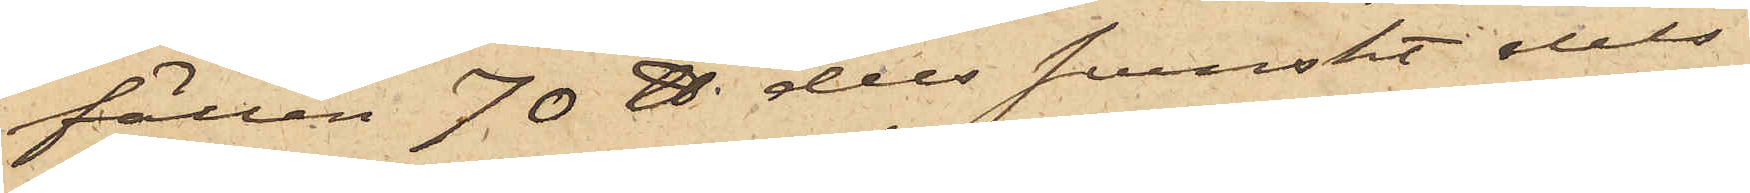fällen 70 ℔ dels svenskt dels
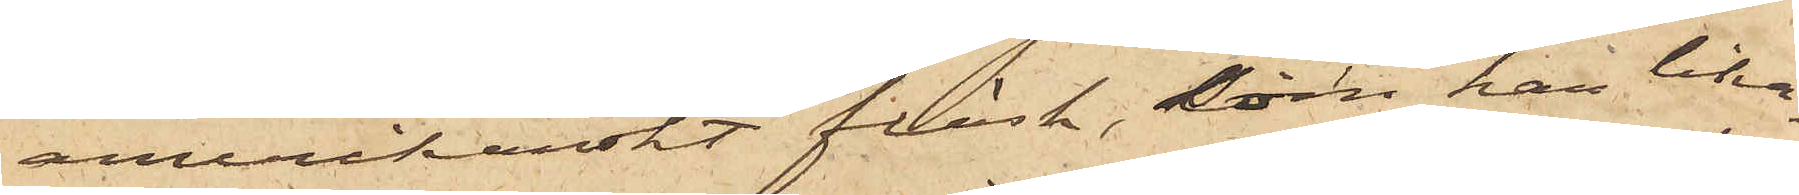amerikanskt fläsk, som han lika¬
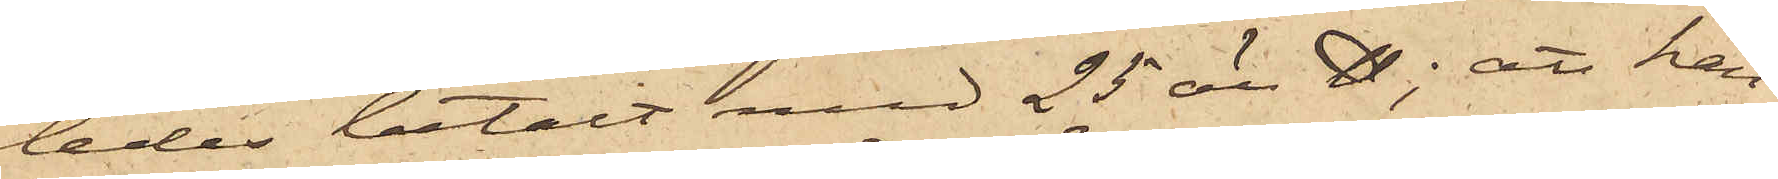ledes betalt med 25 öre ℔; att han
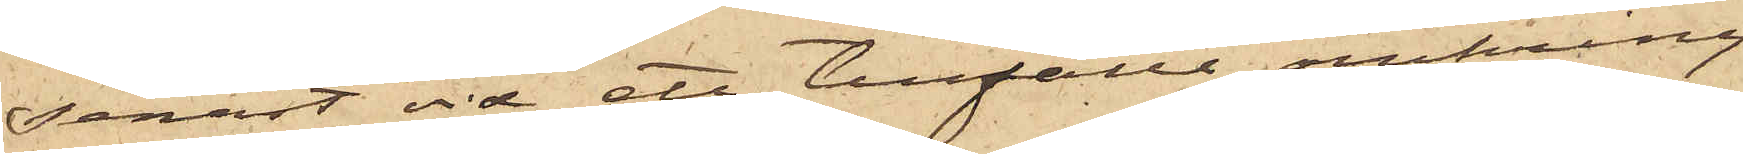senast vid ett tillfälle omkring
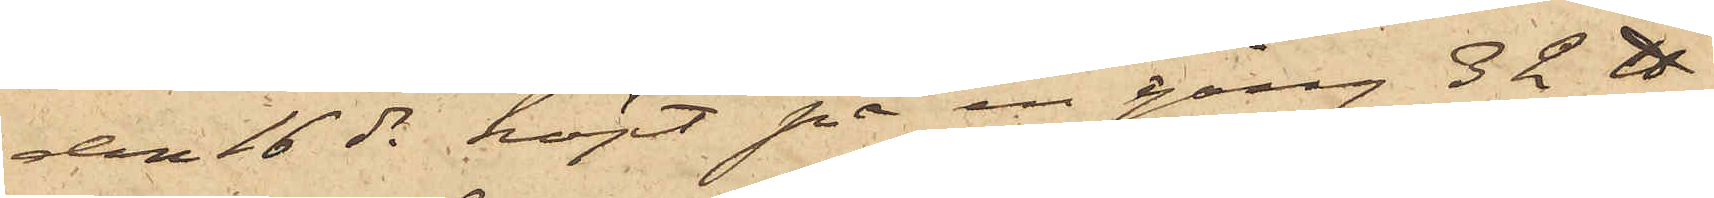den 16 ds köpt på en gång 3 L℔
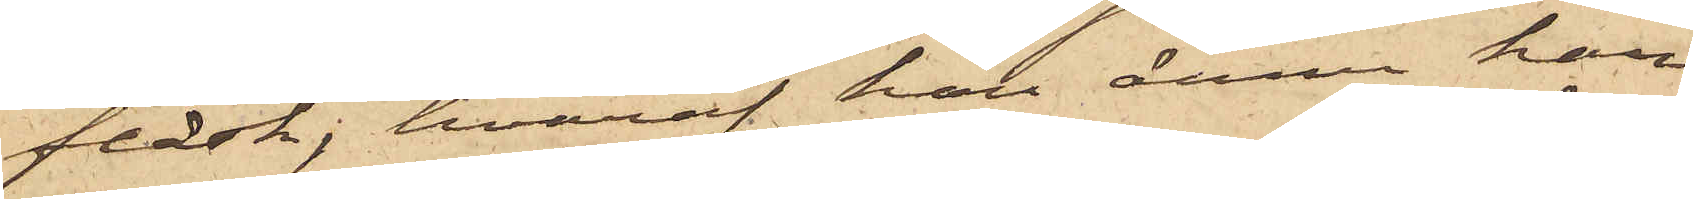fläsk, hvaraf han ännu har
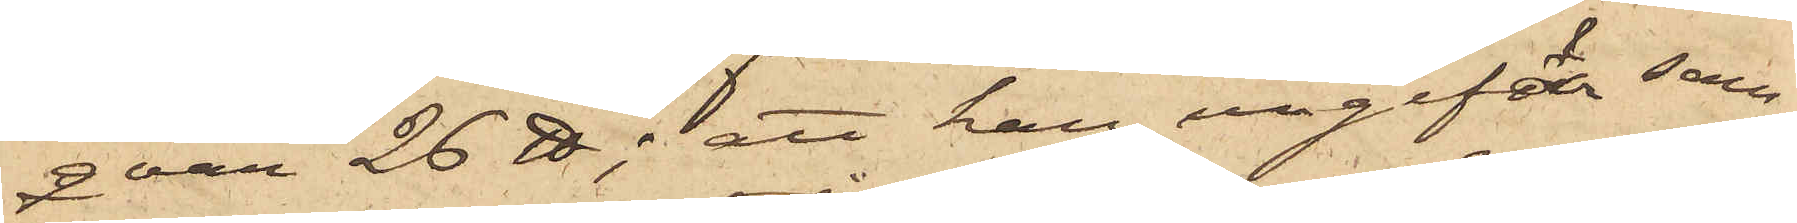qvar 26 ℔; att han ungefär sam¬
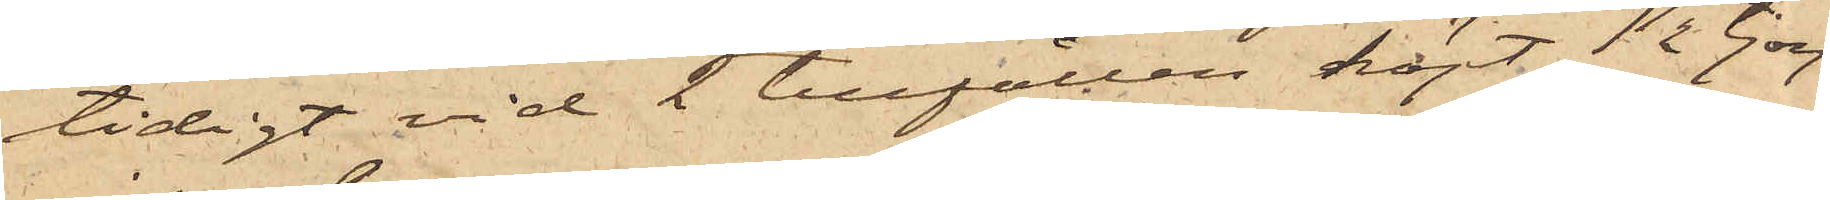tidigt vid 2 tillfällen köpt ½ tjog
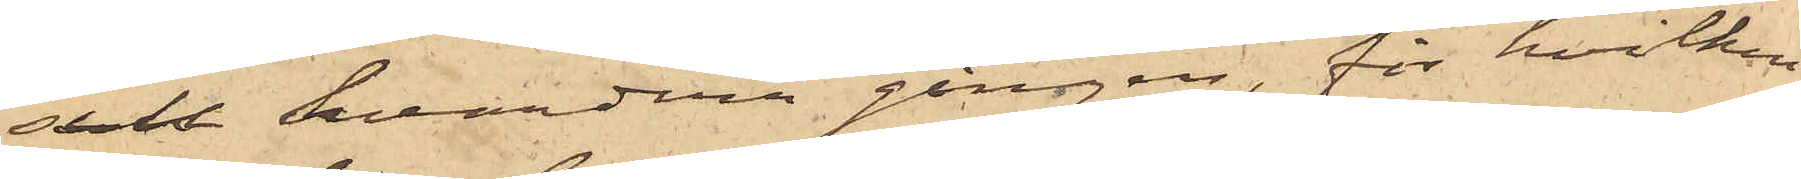sill hvardera gången, för hvilken
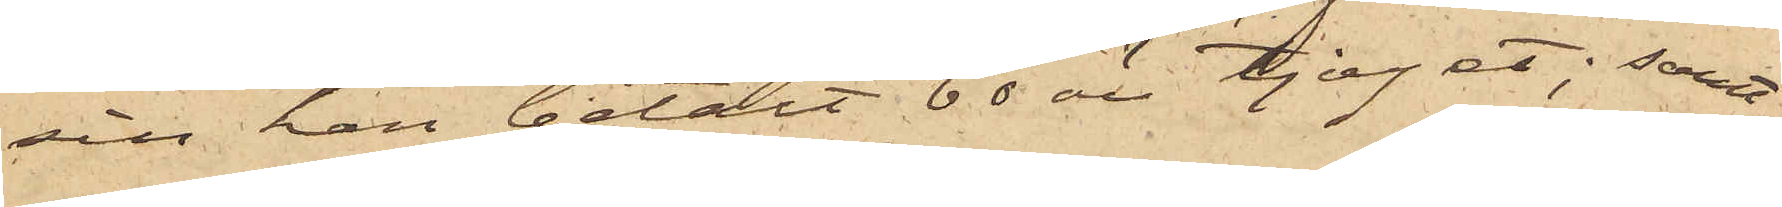sill han betalt 60 öre tjoget; samt
